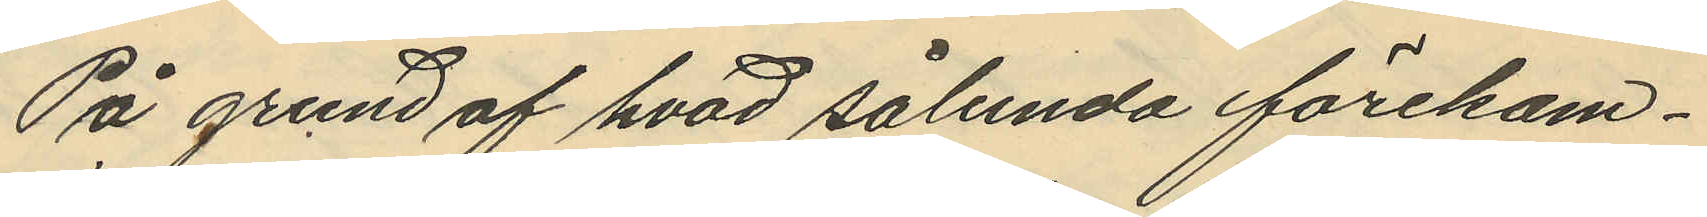På grund af hvad sålunda förekom¬
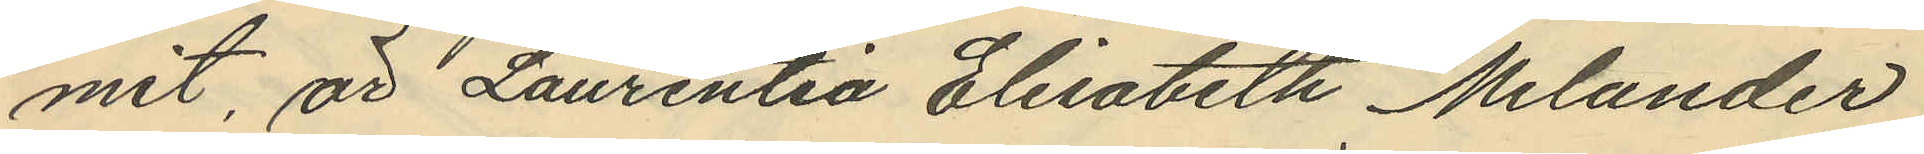mit, är Laurentia Elisabeth Melander
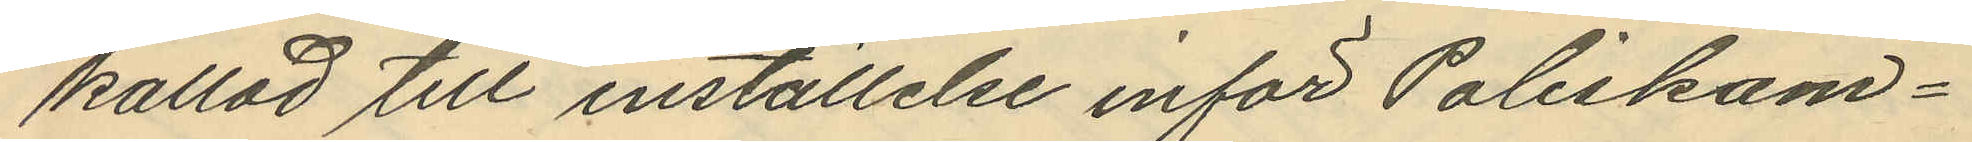kallad till inställelse inför Poliskam¬
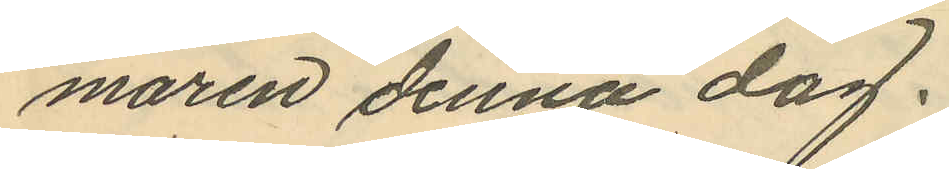maren denna dag.
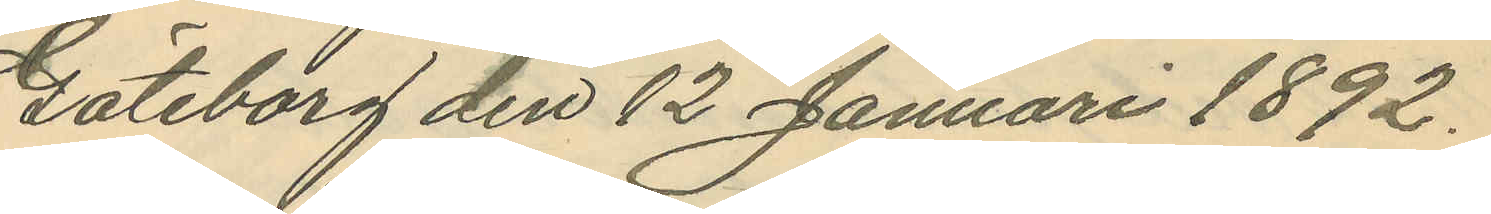Göteborg den 12 Januari 1892.
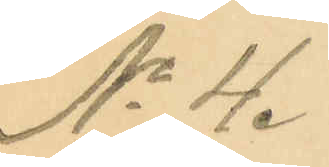No 4.
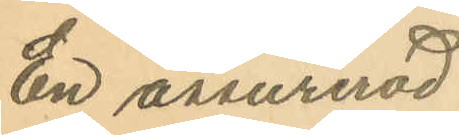En assurerad
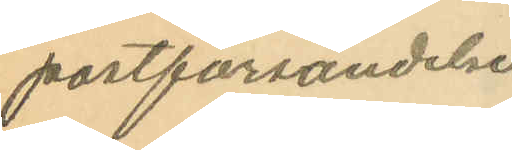postförsändelse
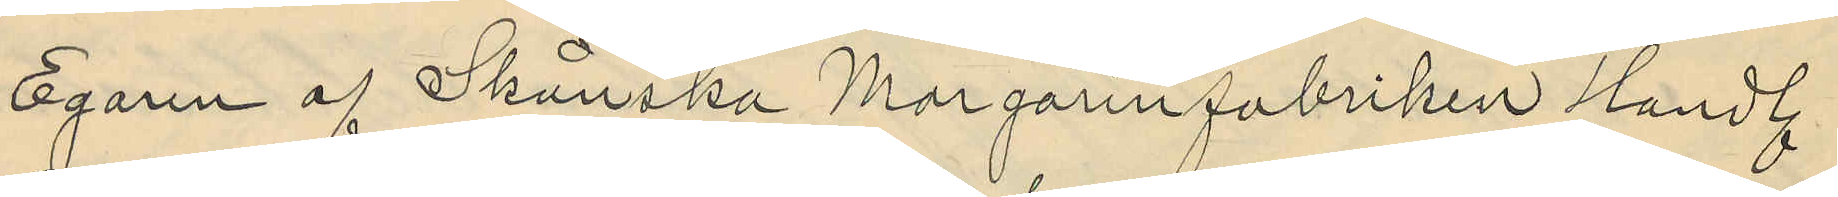Egaren af Skånska Margarinfabriken Handl.
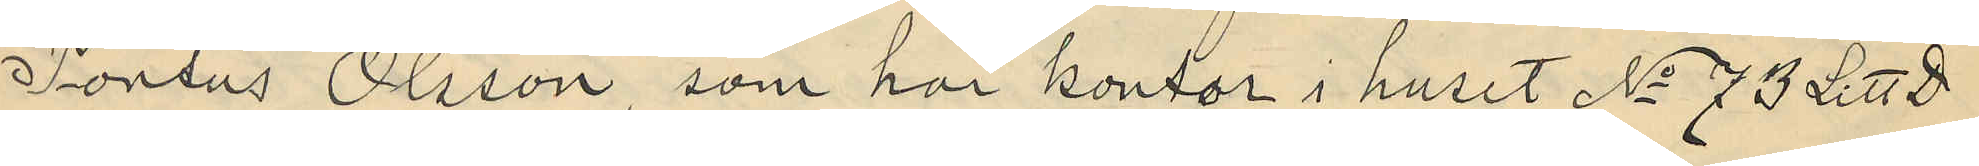Pontus Olsson, som har kontor i huset No 73 Litt D
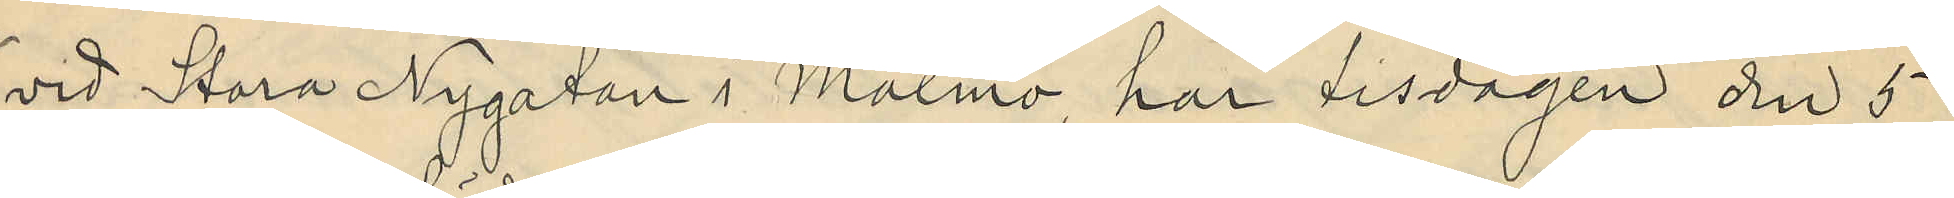vid Stora Nygatan i Malmö, har tisdagen den 5
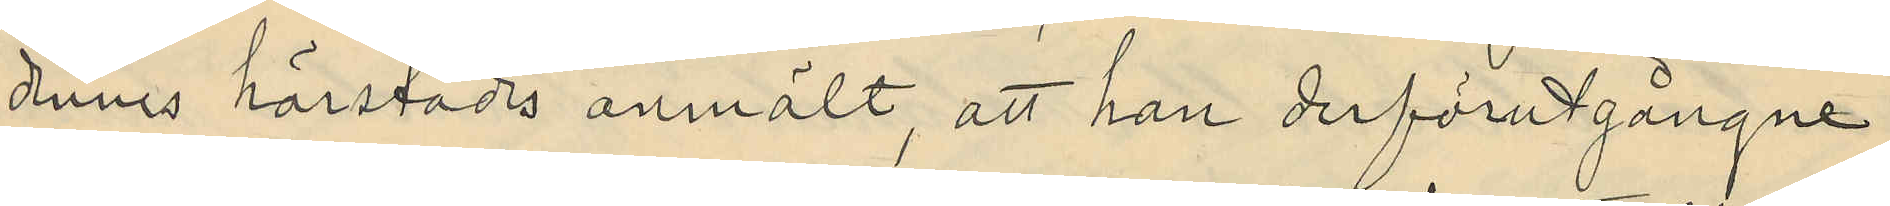dennes härstädes anmält, att han derförutgångne
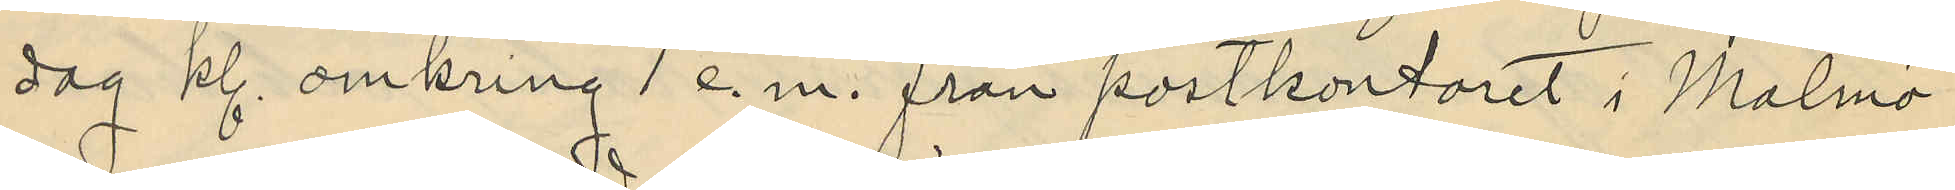dag kl. omkring 1 e.m. från postkontoret i Malmö
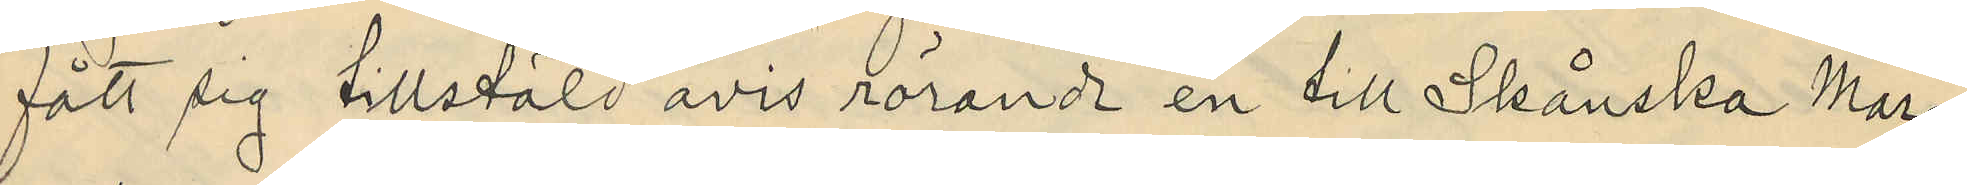fått sig tillstäld avis rörande en till Skånska Mar¬
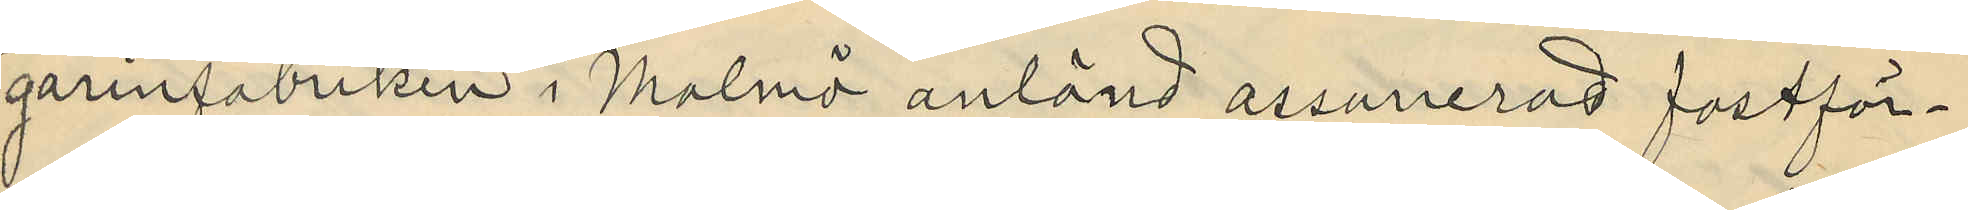garinfabriken i Malmö anländ assurerad postför¬
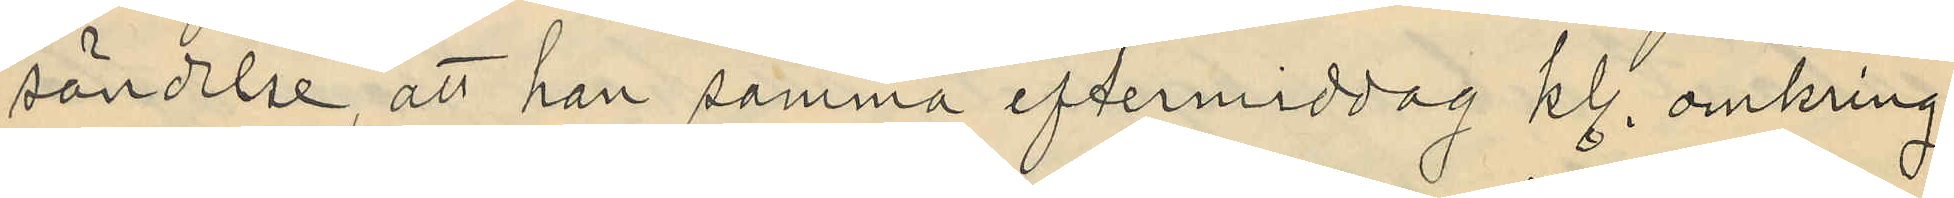sändelse, att han samma eftermiddag kl. omkring
